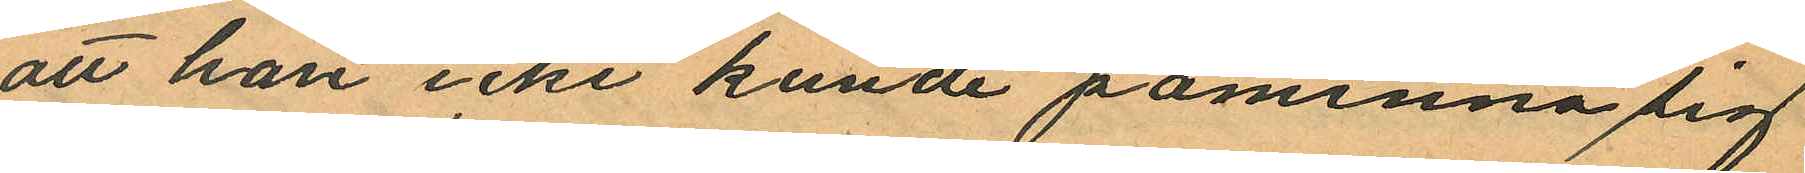att han icke kunde påminna sig
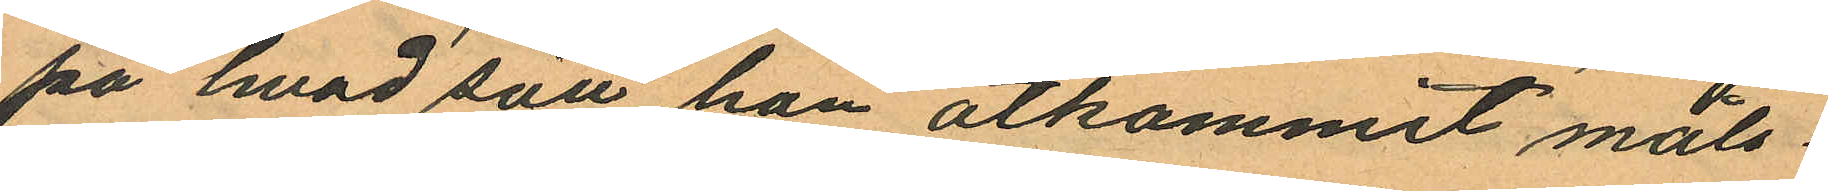på hvad sätt han åtkommit måls¬
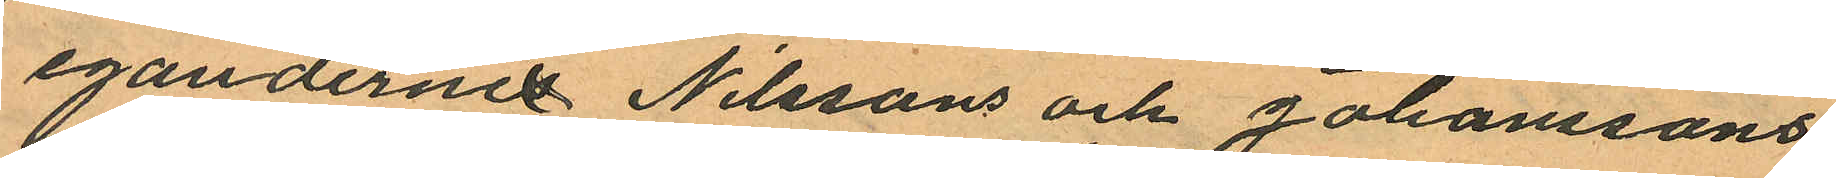egandernes Nilssons och Johanssons
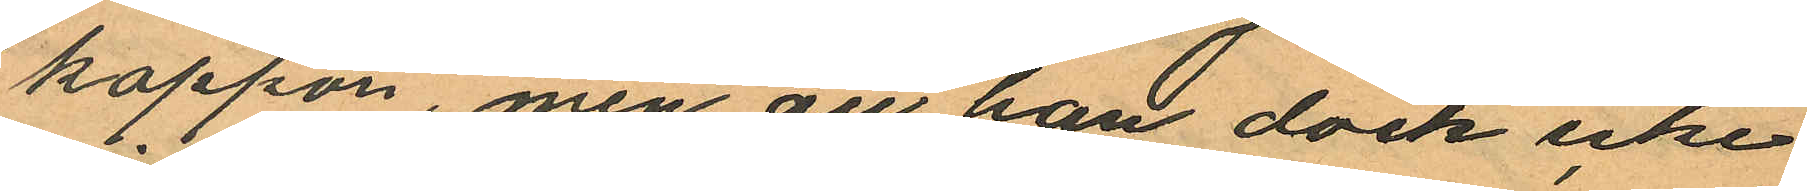kappor, men att han dock icke
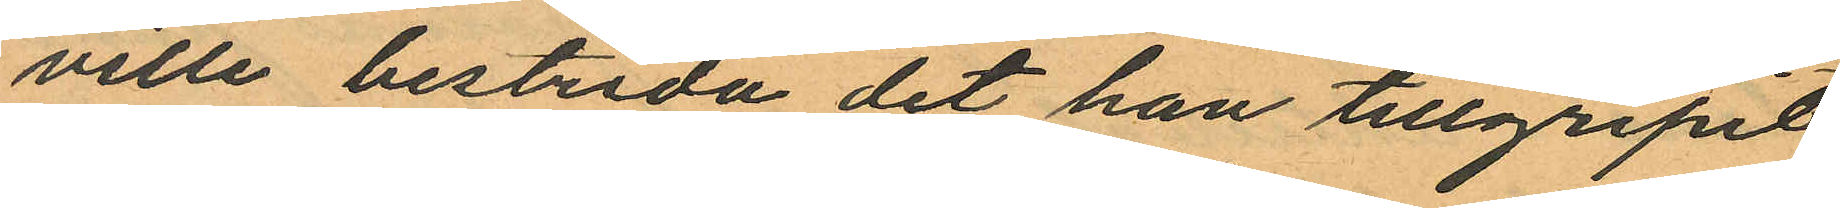ville bestrida det han tillgripit
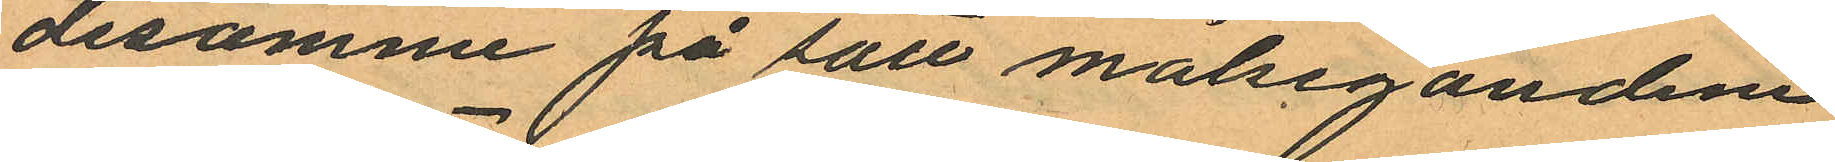desamme på sätt målseganden
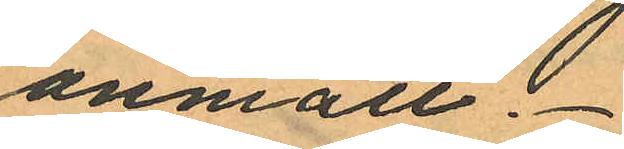anmält.
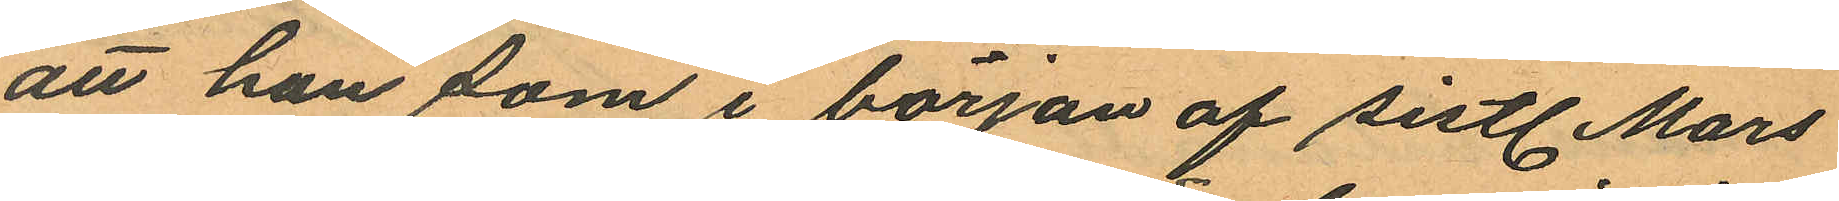att han som i början af sistl. Mars
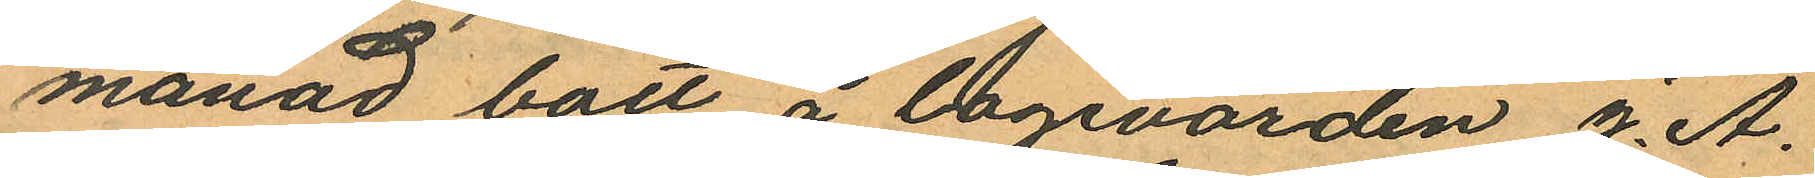månad bott å logivärden J. A.
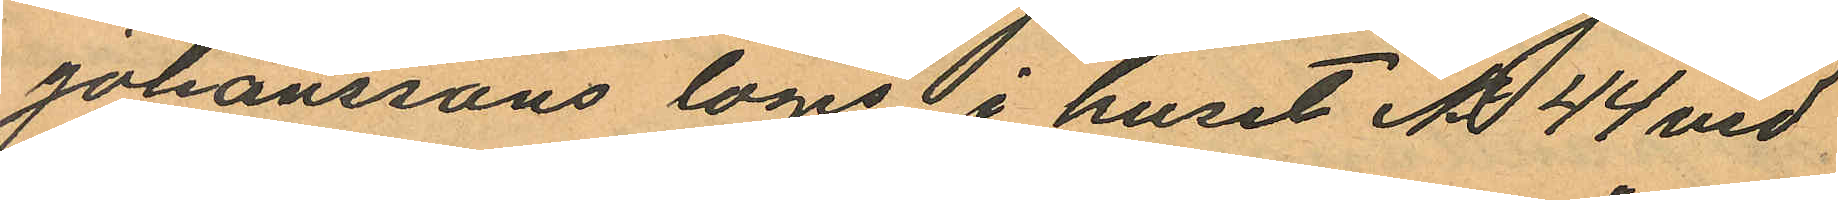Johanssons logis i huset No 44 vid
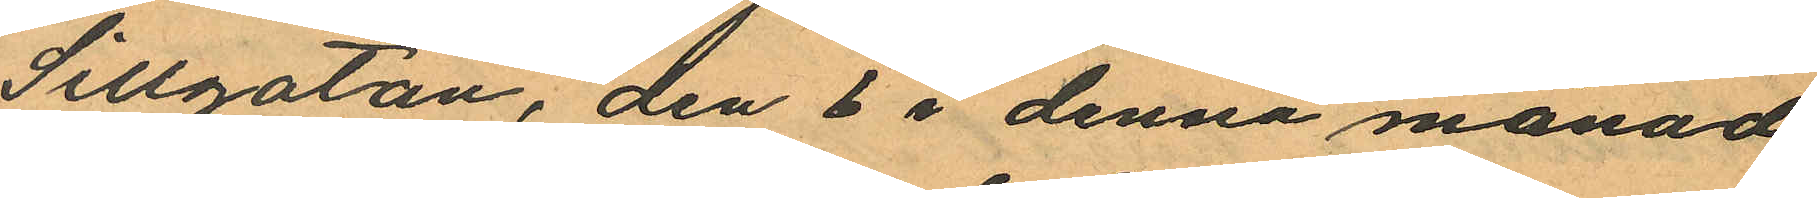Sillgatan, den 6 i denna månad
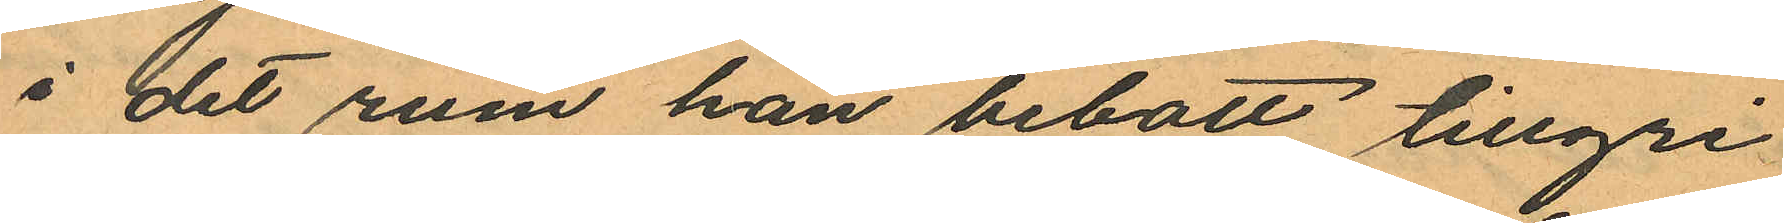i det rum han bebott tillgri
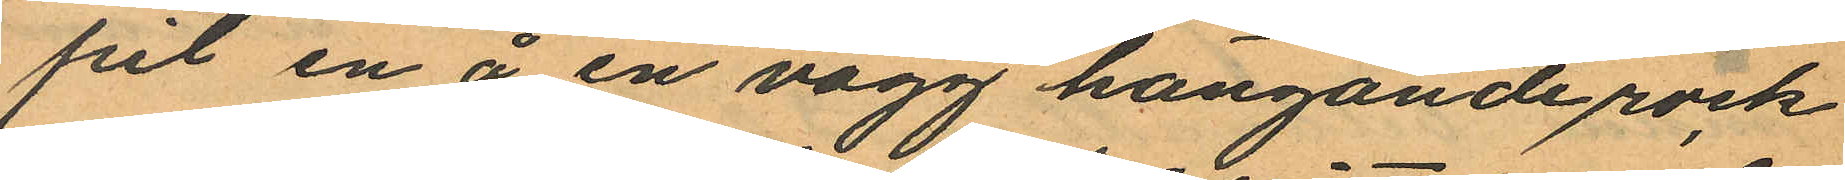pit en å en vägg hängande rock
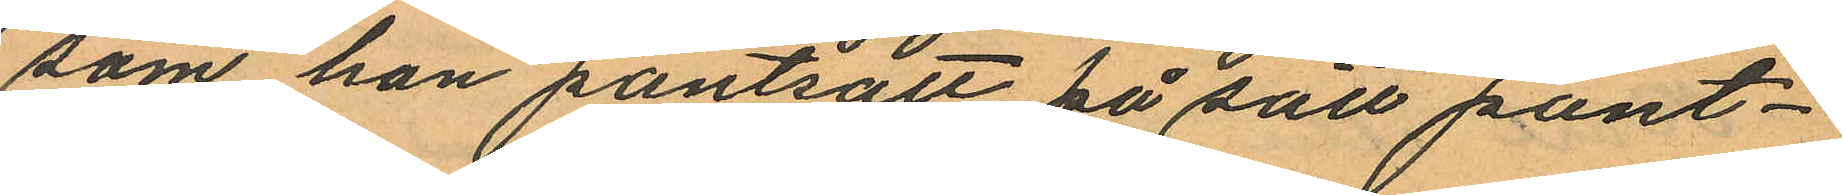som han pantsatt på sätt pant¬
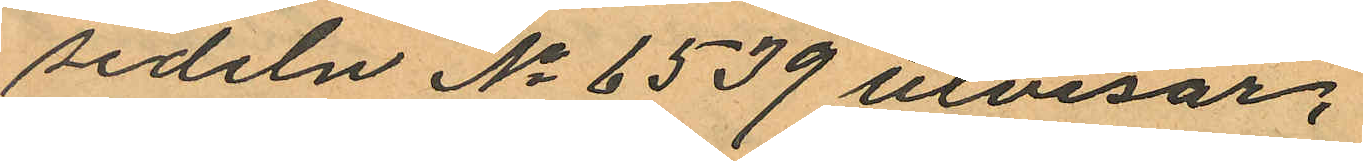sedeln No 6539 utvisar;
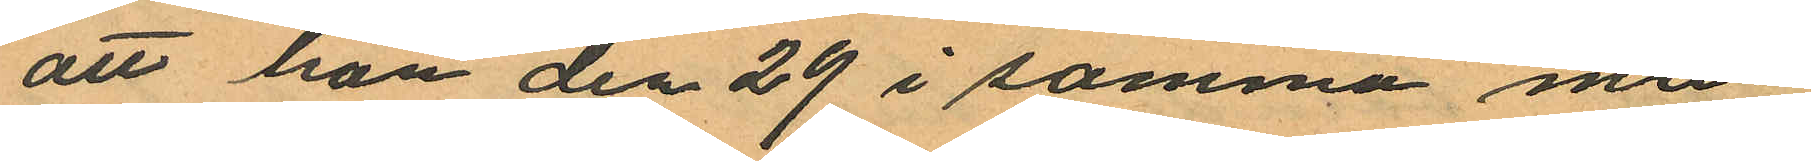att han den 29 i samma må¬
